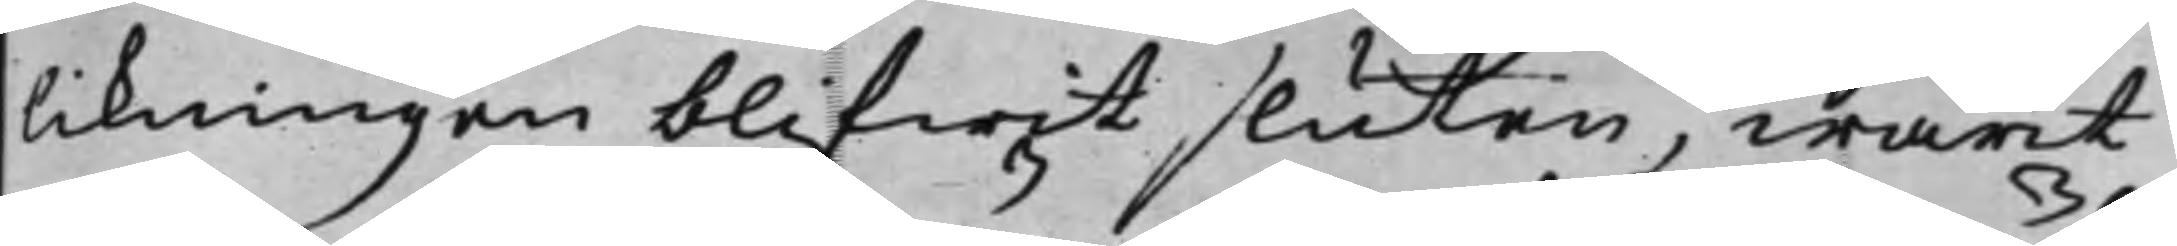likningen blifwit sluten, warit
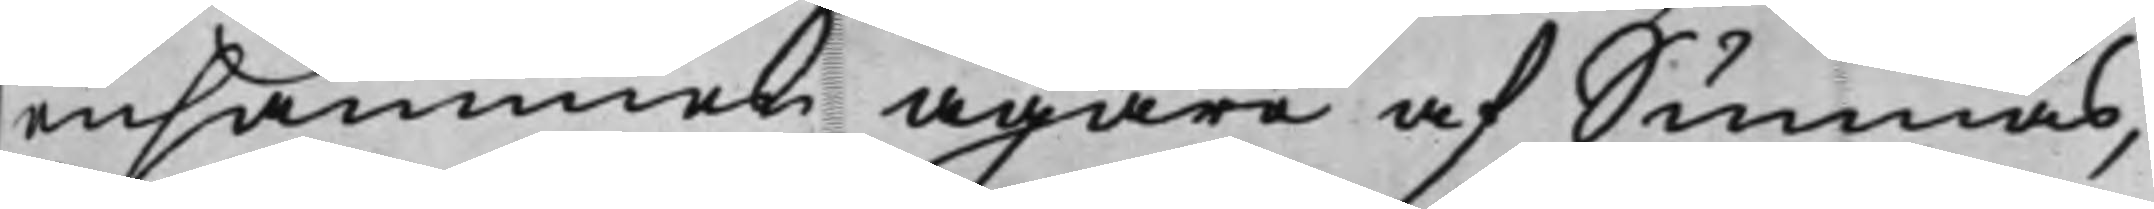ensammen ägare af Sunnäs,
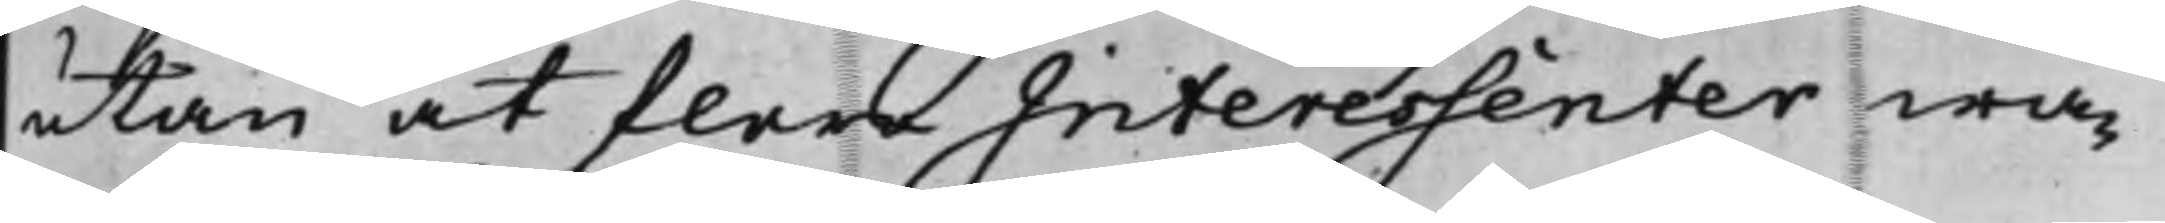utan at flera Interessenter wa¬
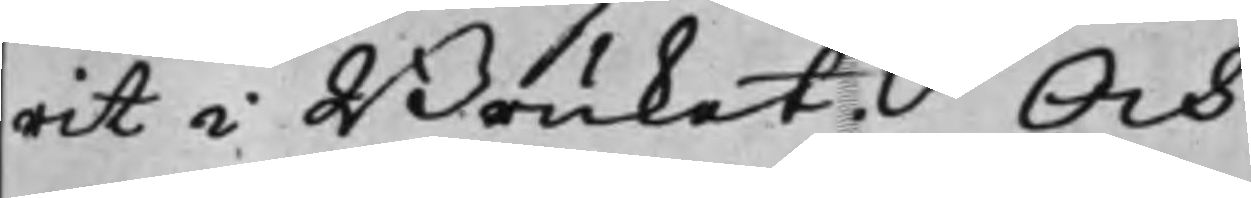rit i Bruket. Och
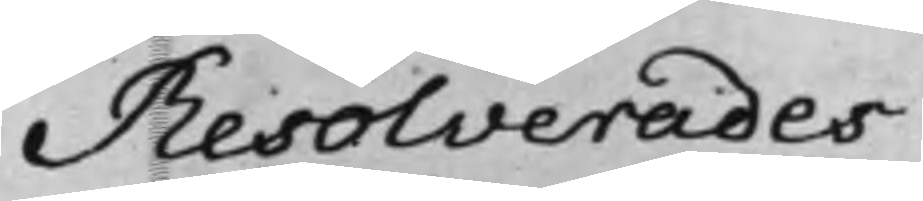Resolverades
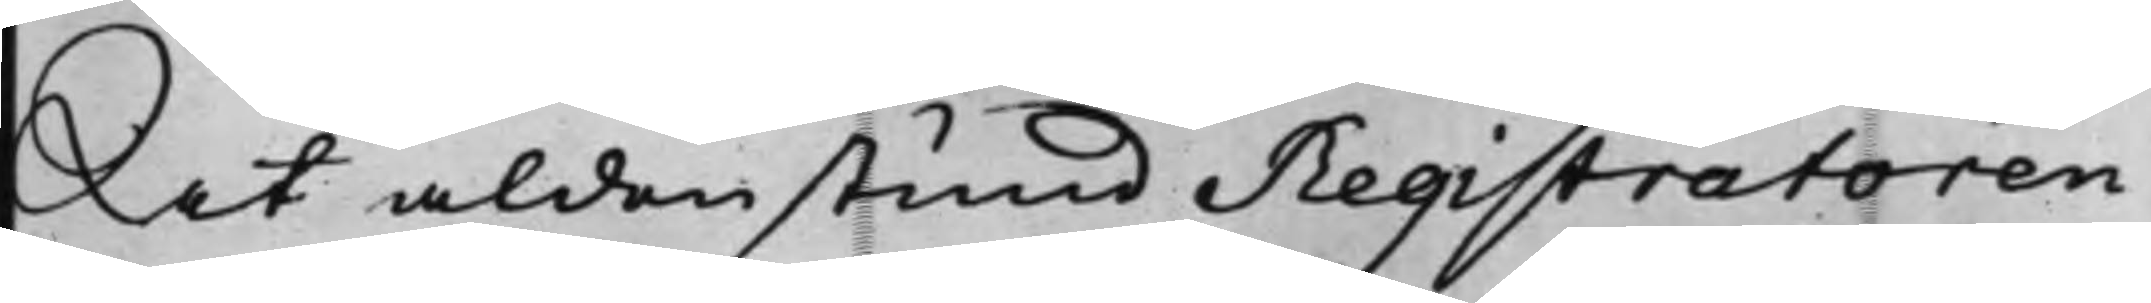At aldenstund Registratoren
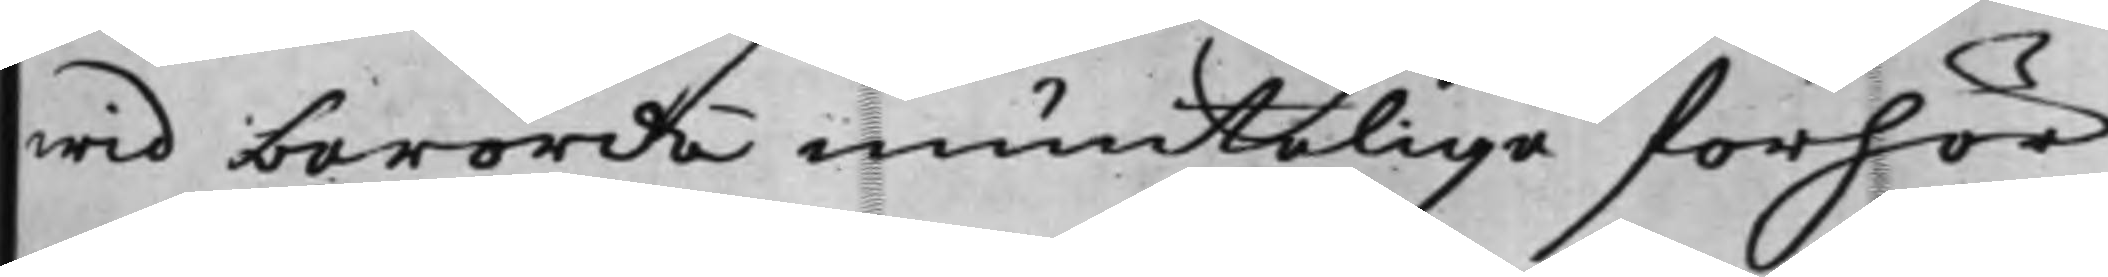wid berörde muntelige förhör
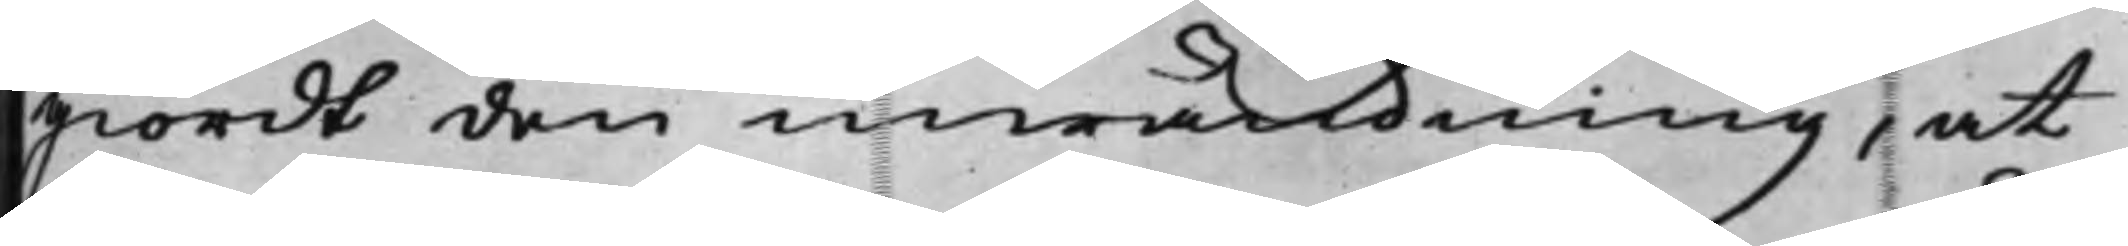giordt den inwändning, at
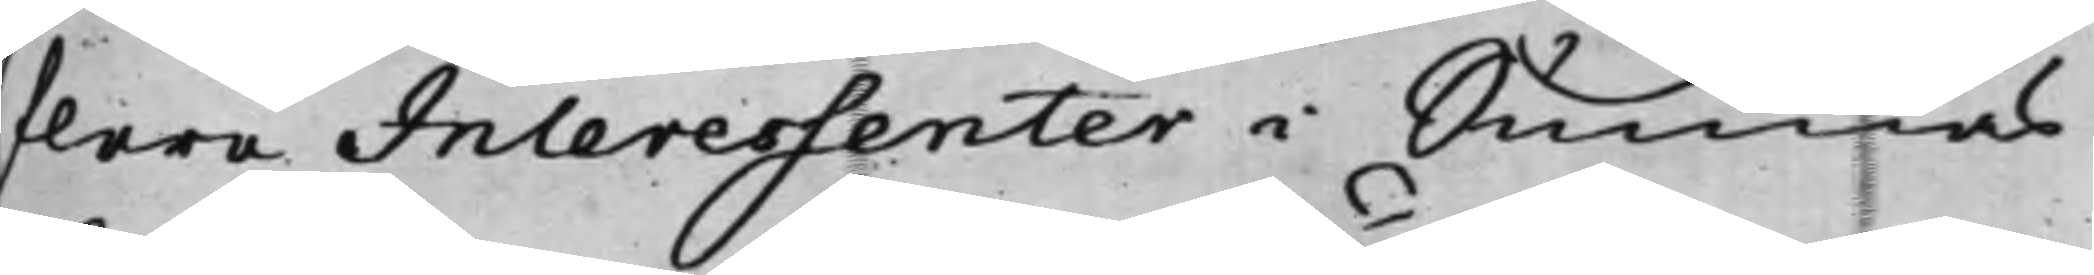flera Interessenter i Sunnäs
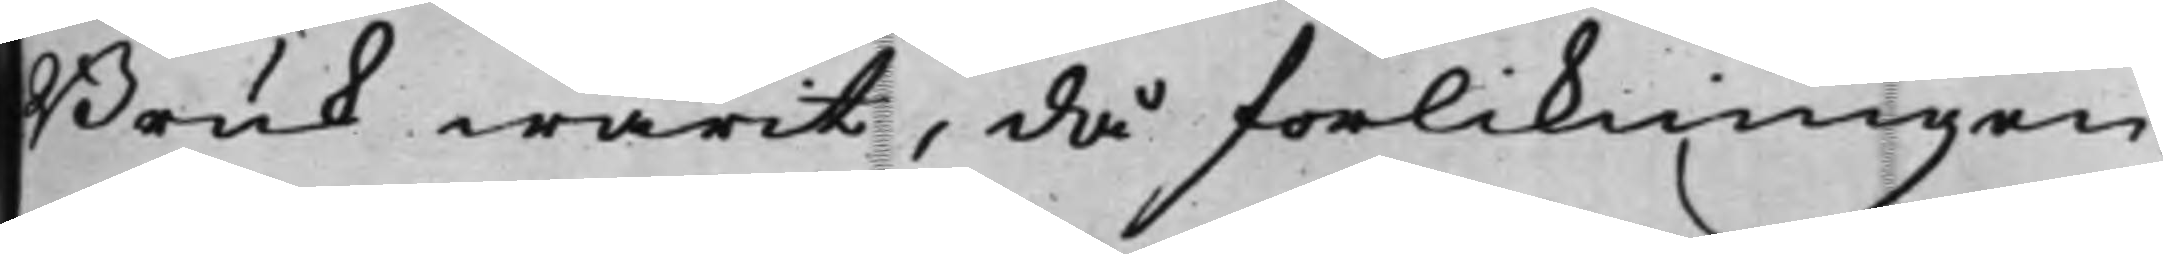Bruk warit, då förlikningen
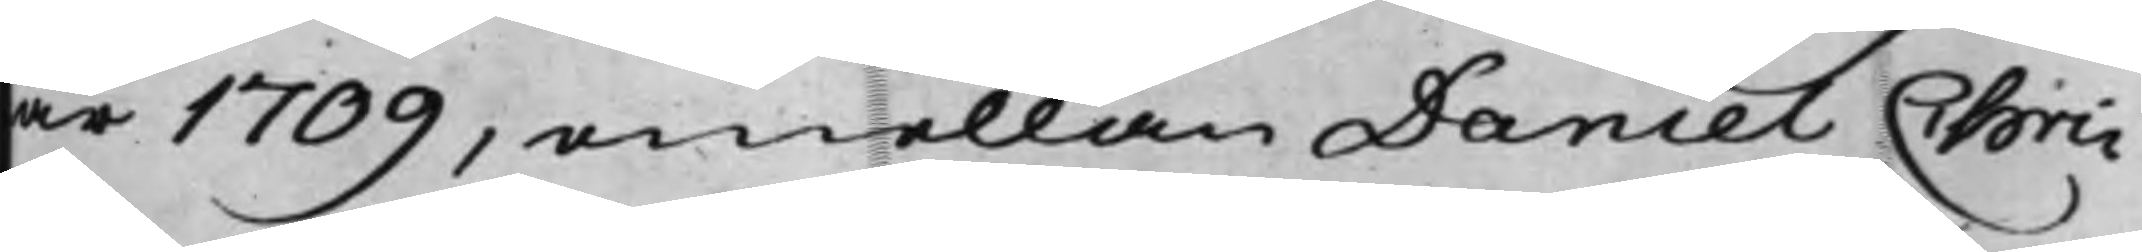år 1709, emellan Daniel Chri¬
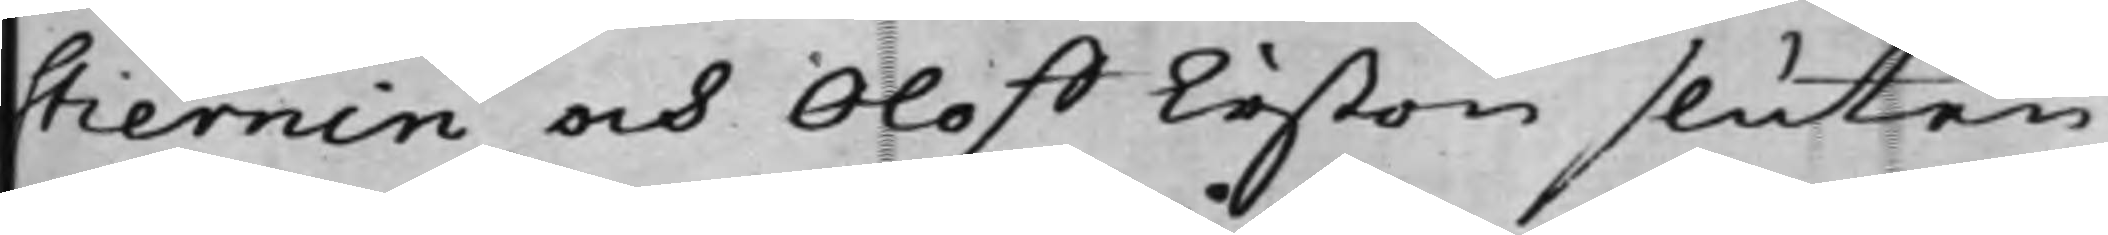stiernin och Oloff Erßon sluten
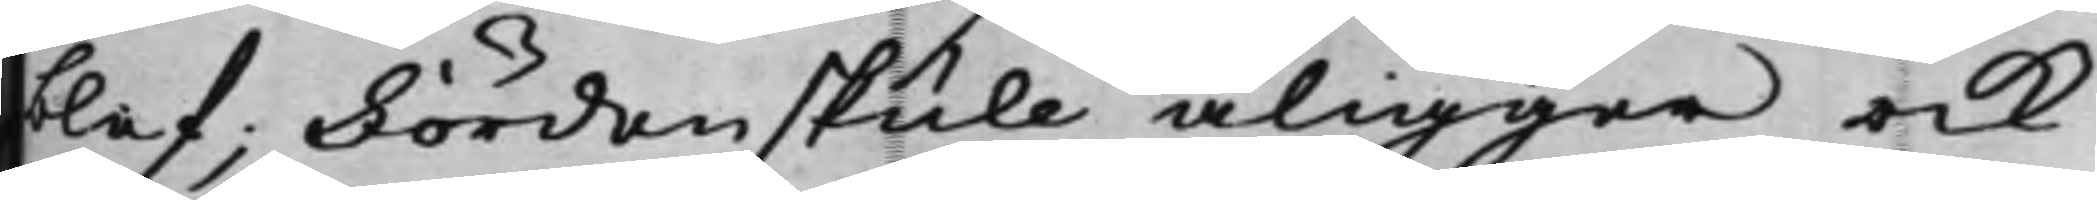blef; Fördenskull åligger ock
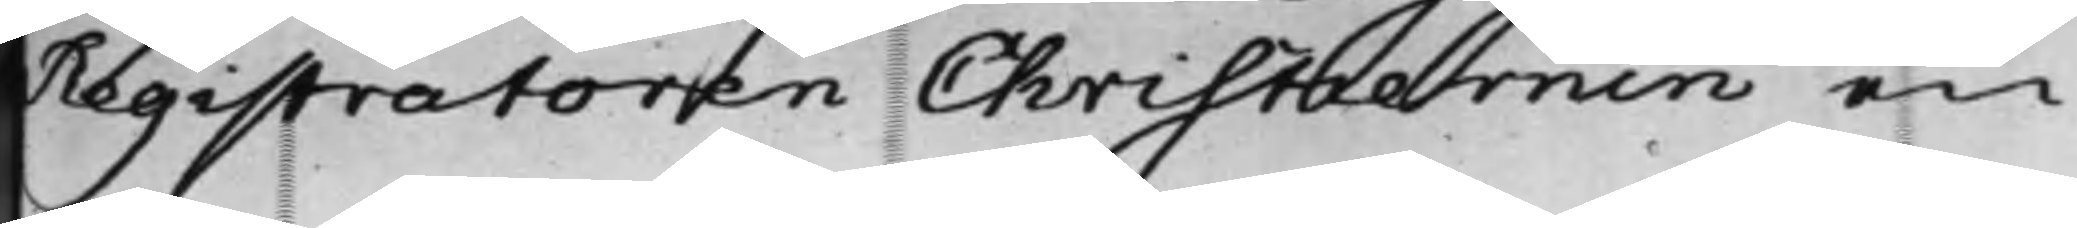Registratoren Christiernin en
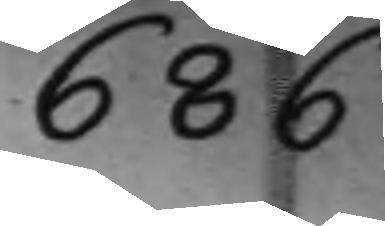686
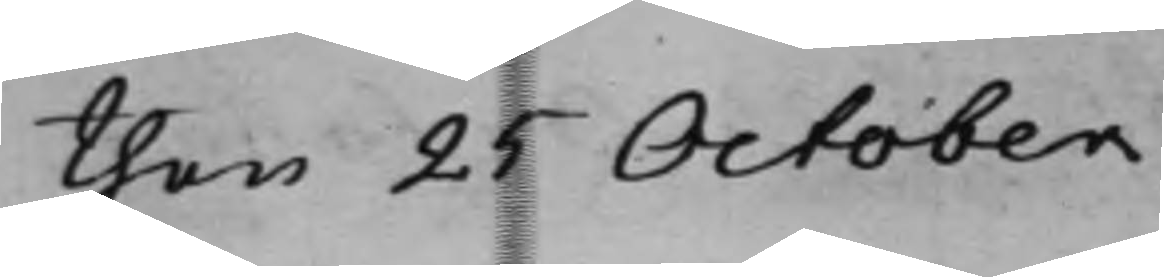den 25 October
